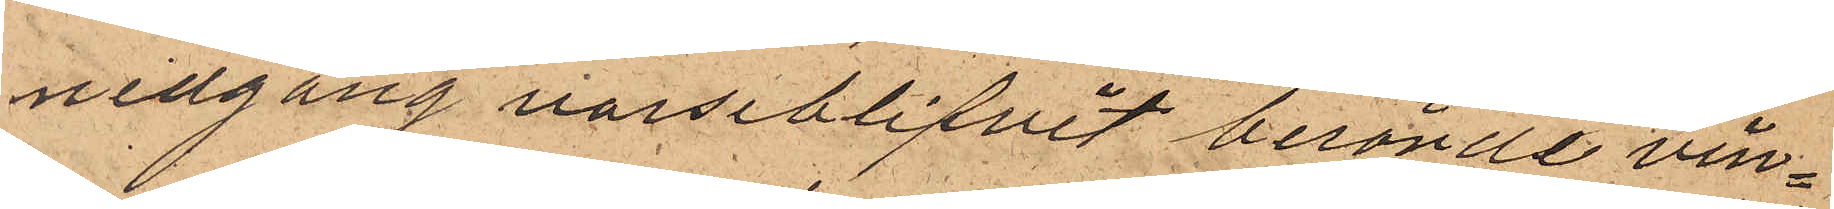nedgång varseblifvit berörde vin¬
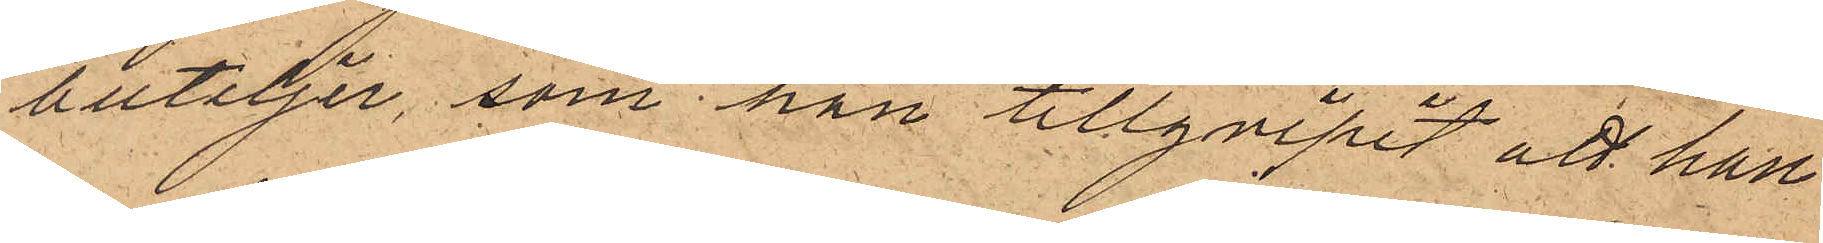buteljer, som han tillgripit att han
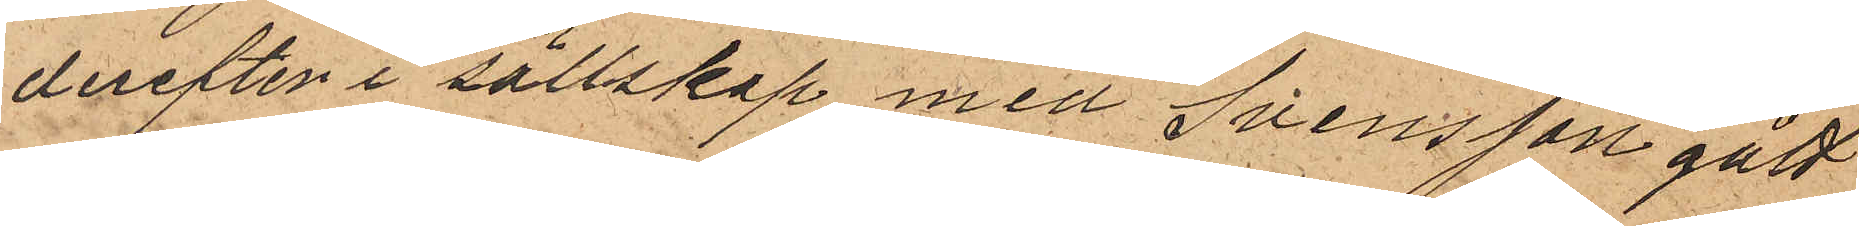derefter i sällskap med Svensson gått
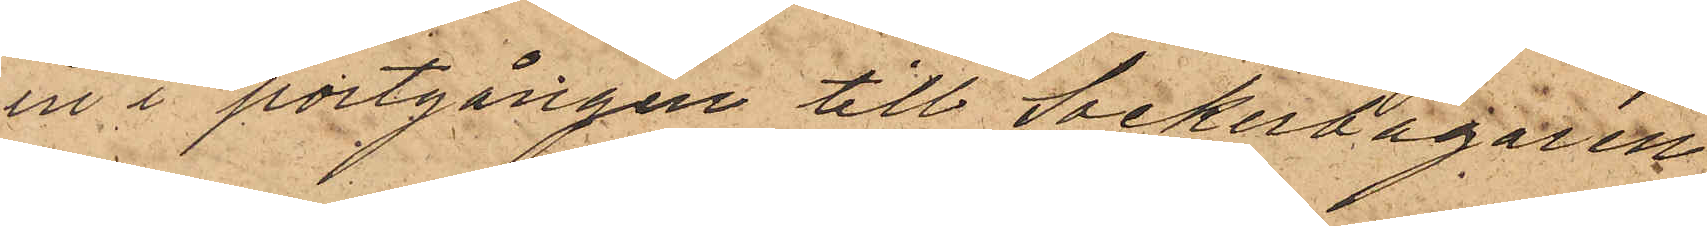in i portgången till Sockerbagaren
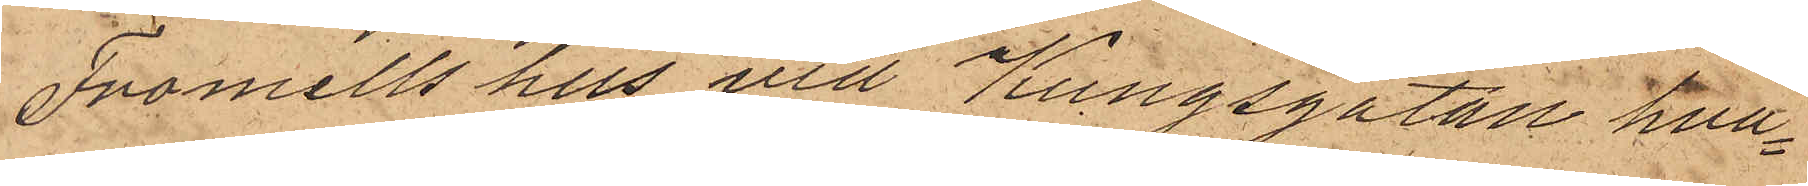Fromells hus vid Kungsgatan hva¬
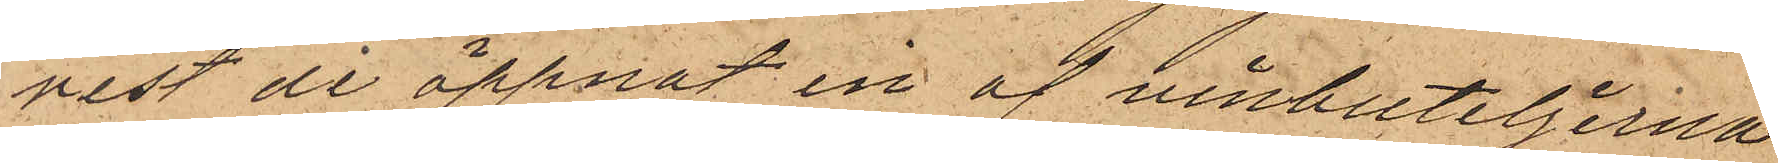rest de öppnat en af vinbuteljerna
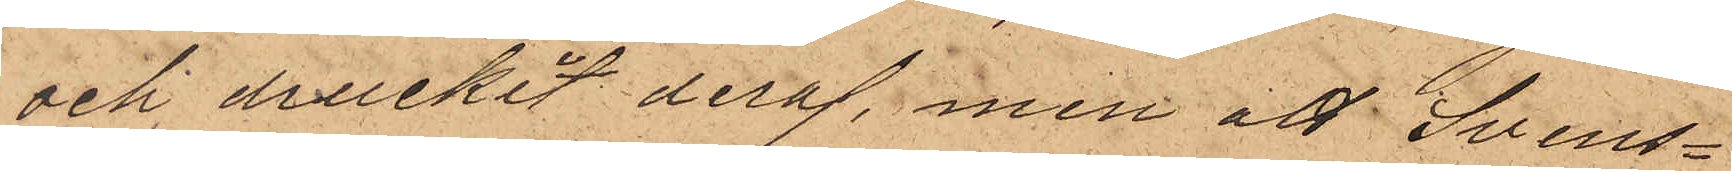och druckit deraf, men att Svens¬
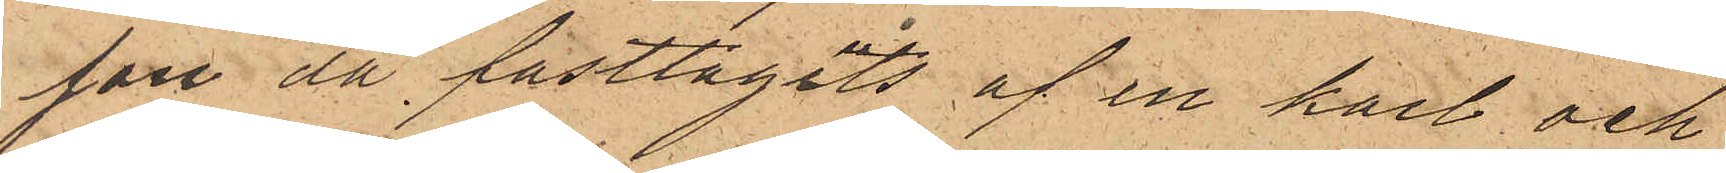son då fasttagits af en karl och
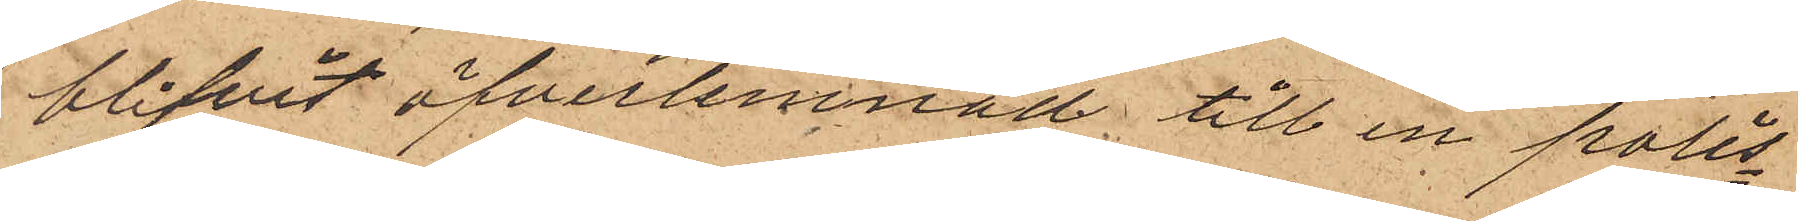blifvit öfverlemnad till en polis¬
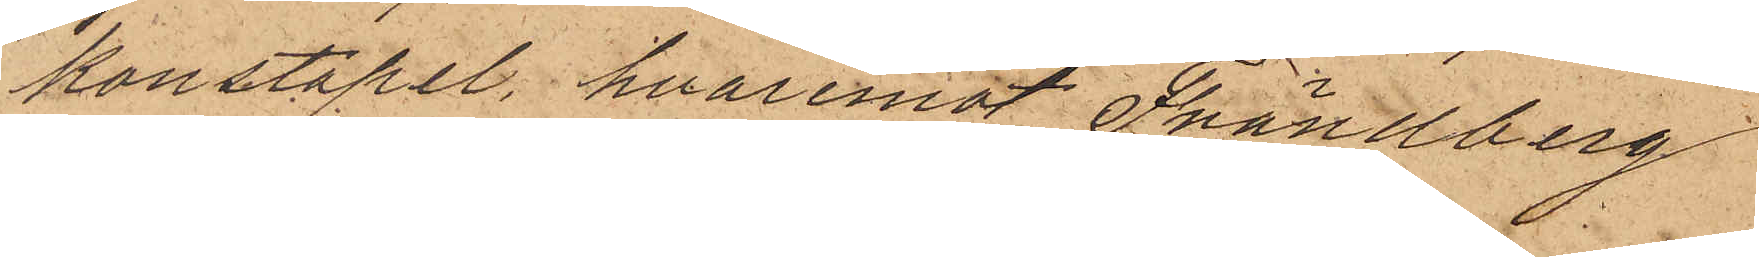konstapel, hvaremot Frändberg
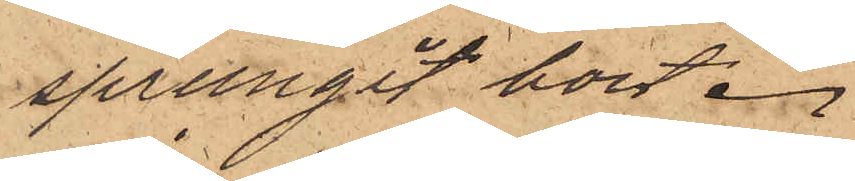sprungit bort.
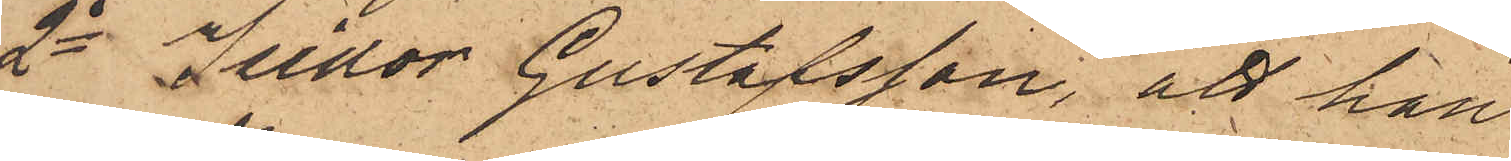2o Isidor Gustafsson, att han
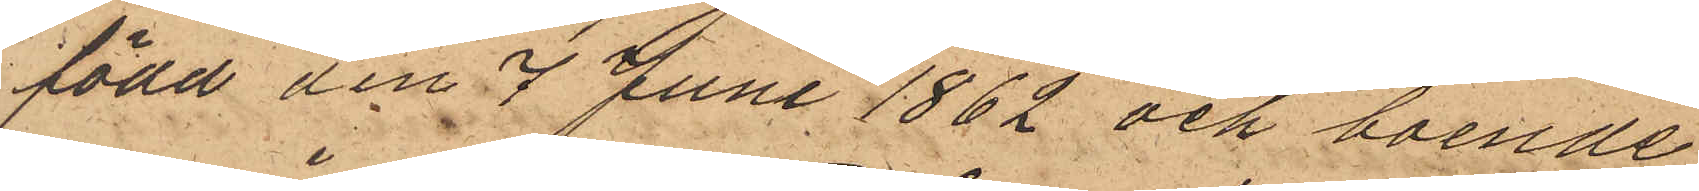född den 7 Juni 1862 och boende
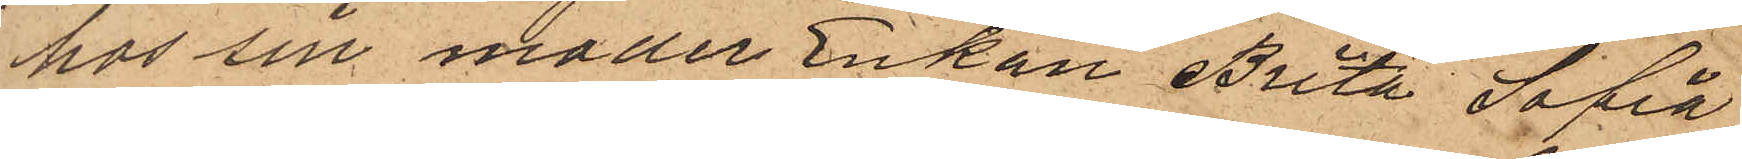hos sin moder Enkan Brita Sofia
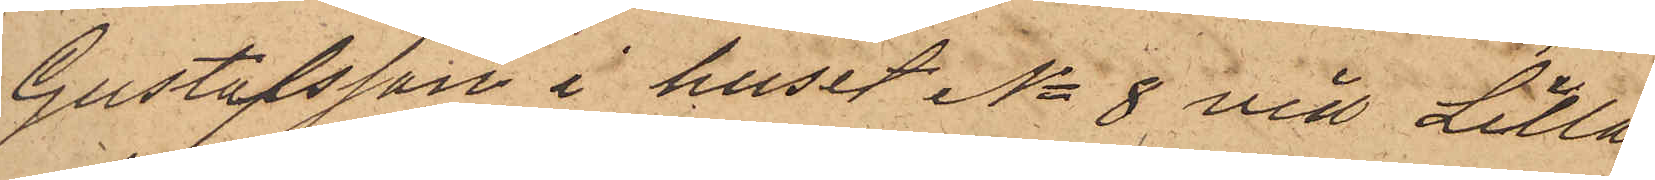Gustafsson i huset No 8 vid Lilla
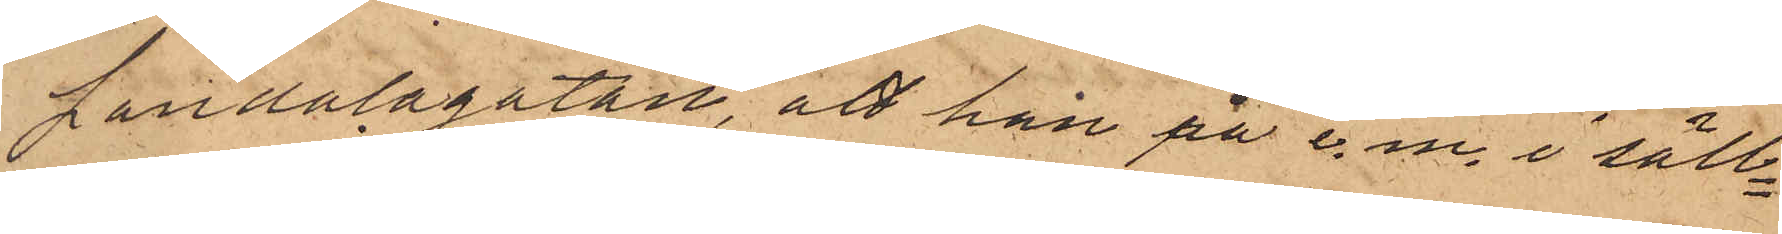Landalagatan, att han på e.m. i säll¬
